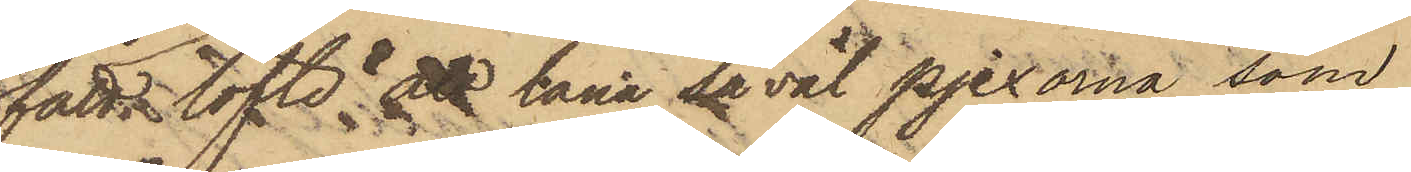fått löfte låna att låna så väl pjexorna, som
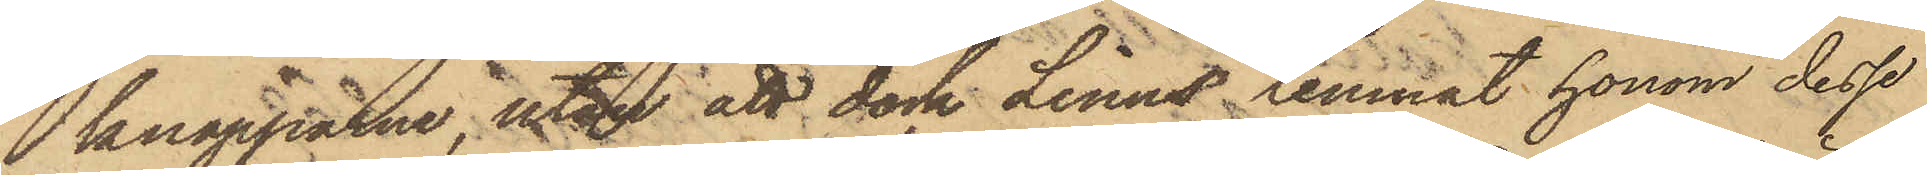knapparne, utan att dock Linus lemnat honom dessa
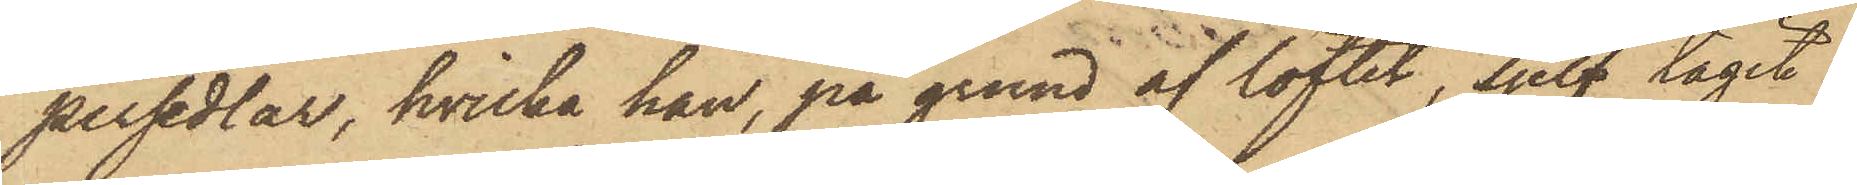persedlar, hvilka han, på grund af löftet, sjelf tagit
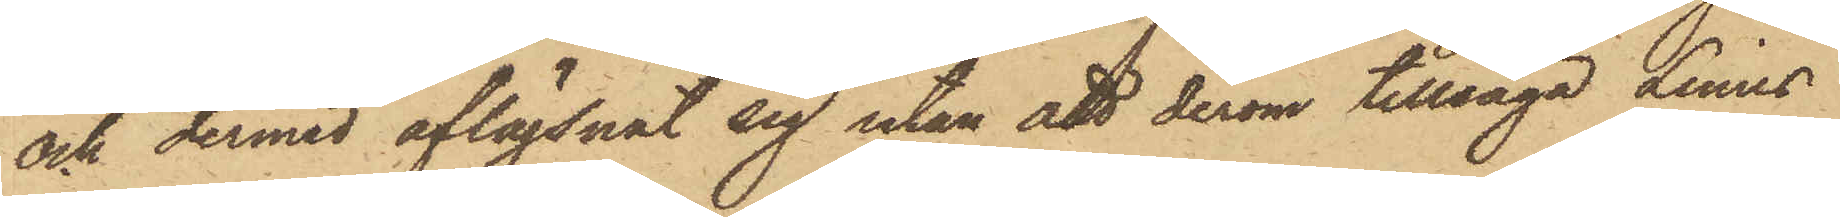och dermed aflägsnat sig utan att derom tillsäga Linus
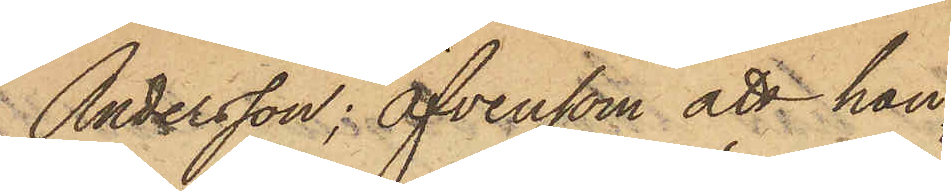Andersson; Äfvensom att han
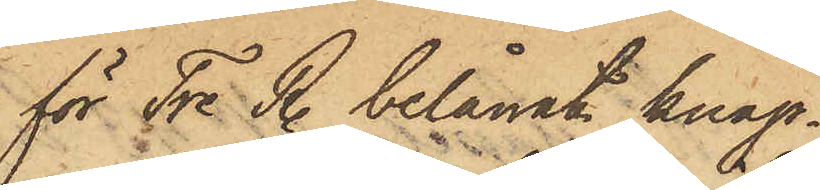för Tre R. belånat knap¬
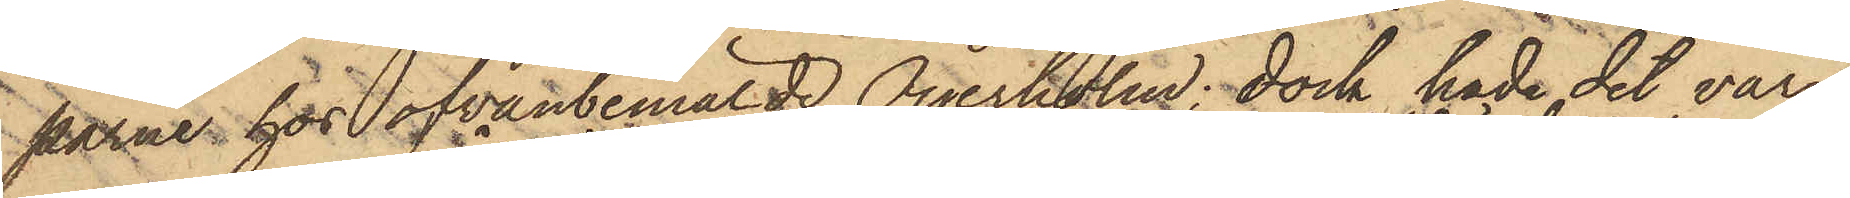parne hos ofvanbemälde Öijerholm; dock hade det varit
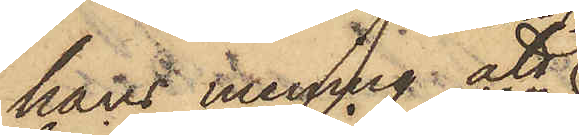hans mening att
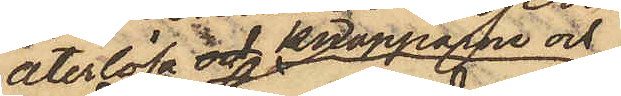återlösa och knapparne och
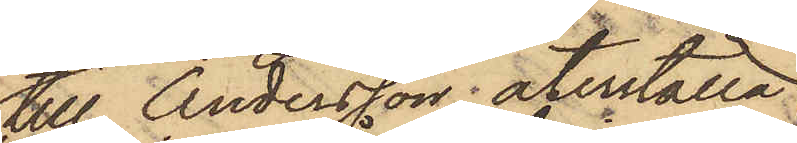till Andersson återställa
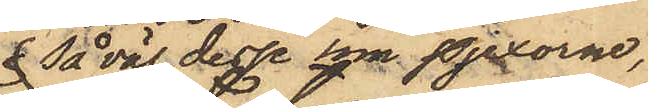 så väl desse som pjexorne,
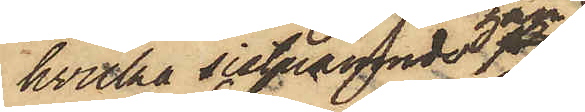hvilka sistnämnde han
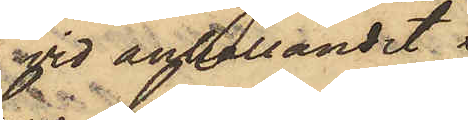vid anhållandet
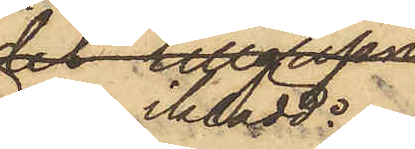var iklädd.
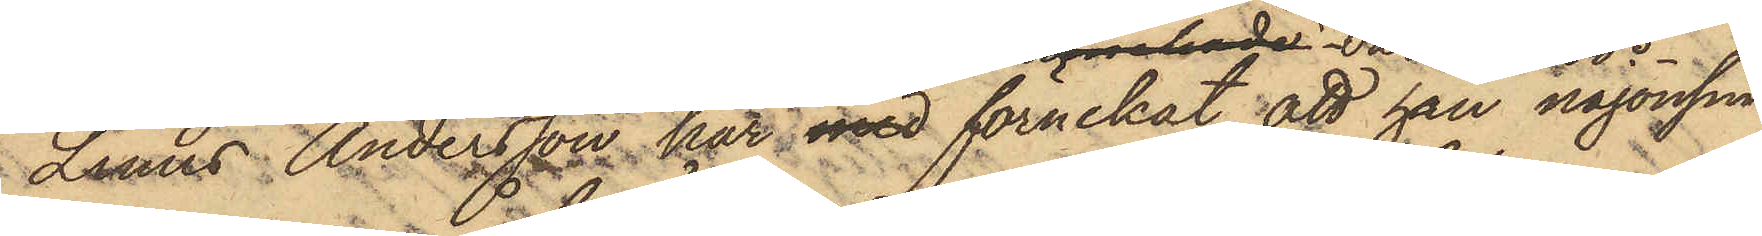Linus Andersson har med förnekat, att han någonsin
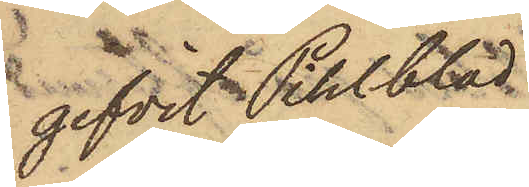gifvit Pihlblad
